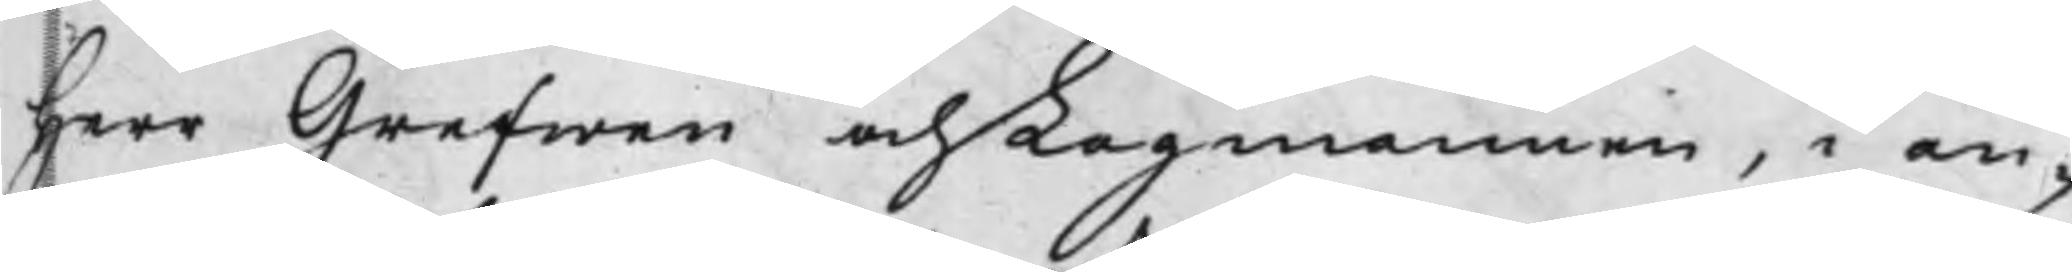Herr Grefwen och Lagmannen, i an¬
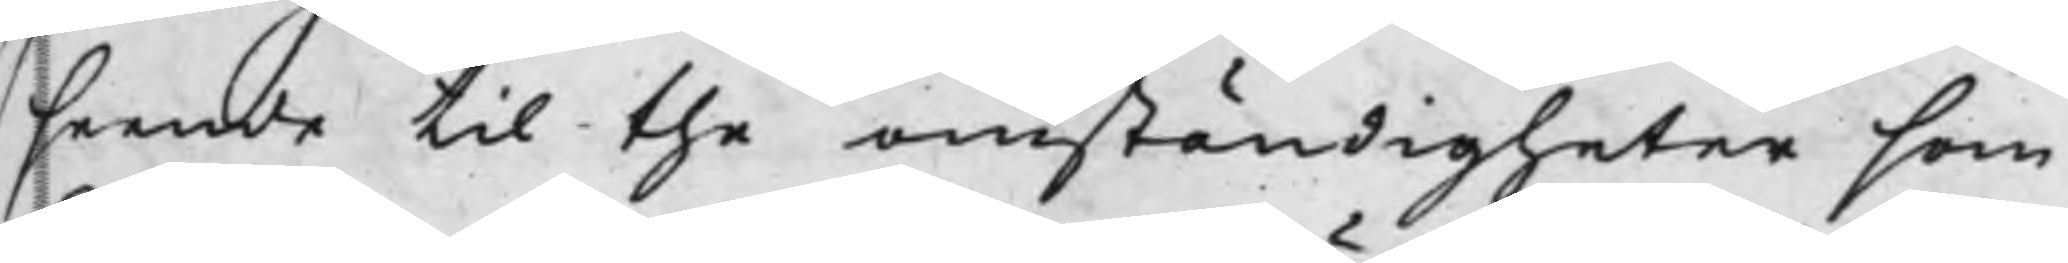seende til the omständigheter som
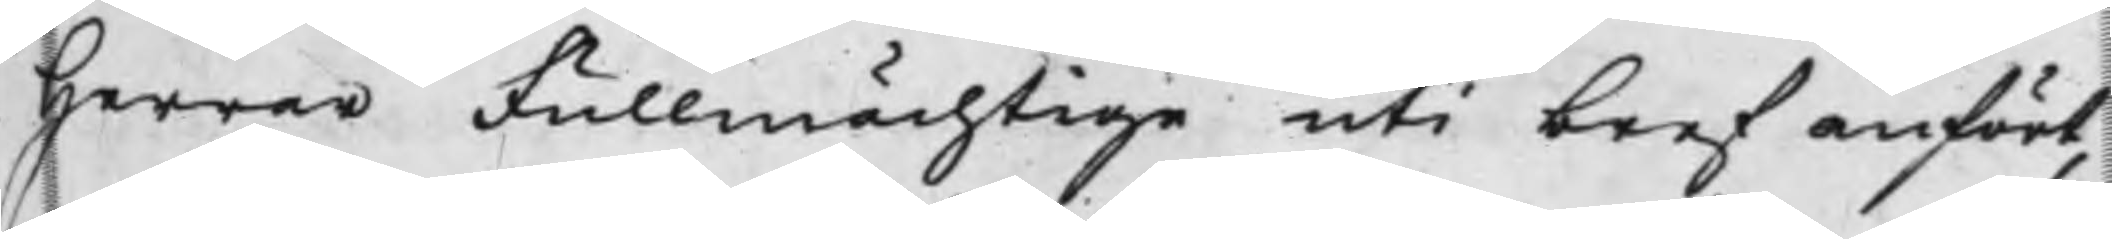Herrar Fullmächtige uti bref anfört,
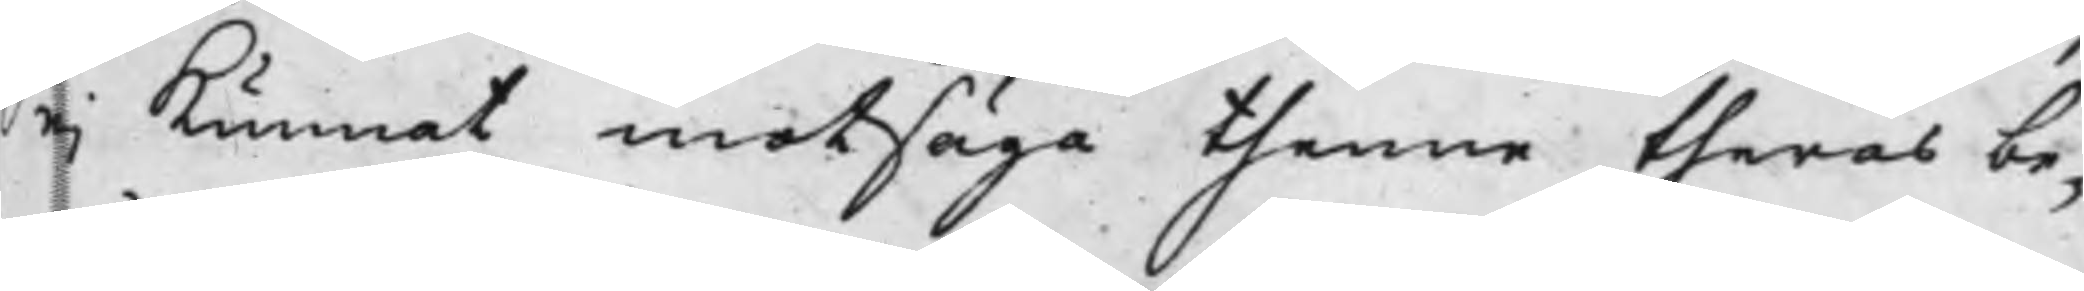ej Kunnat motsäga thenne theras be¬
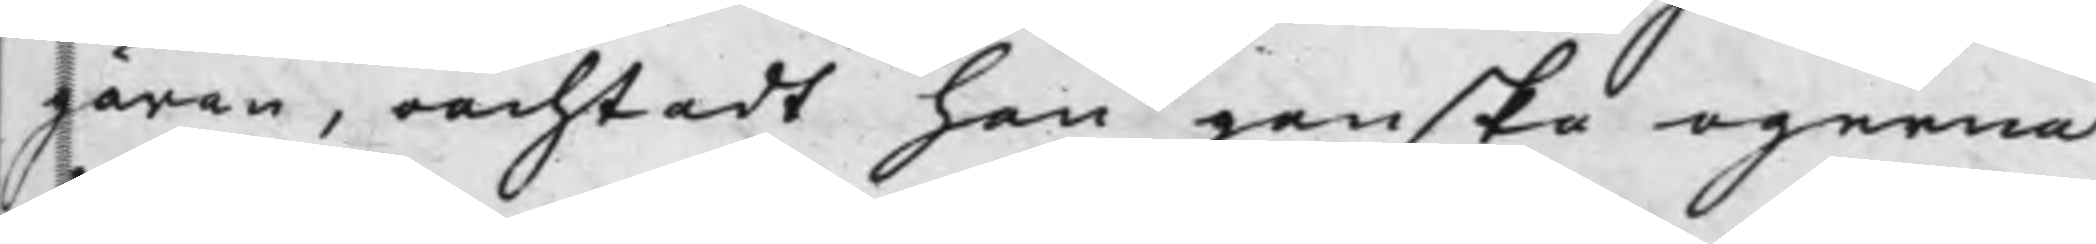gäran, oachtadt han ganska ogerna
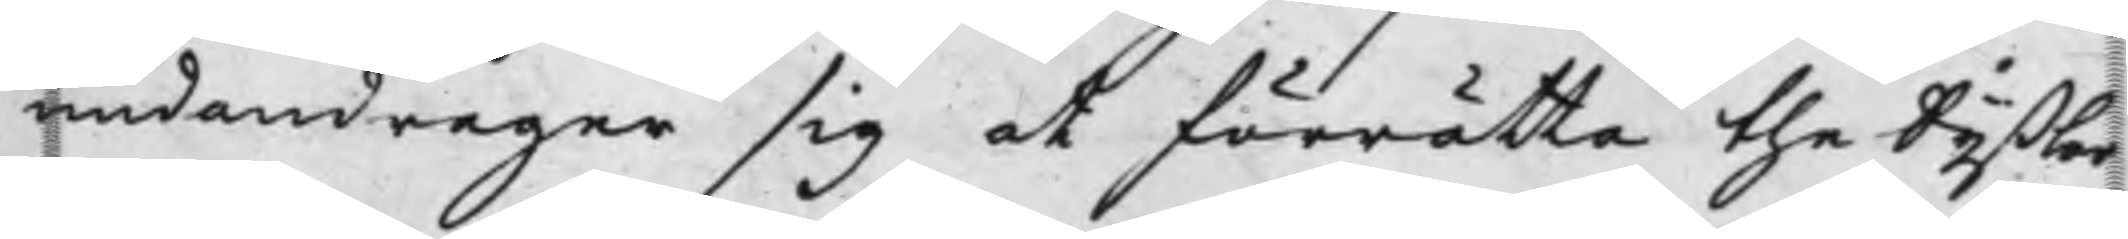undandrager sig at förrätta the Syßlor
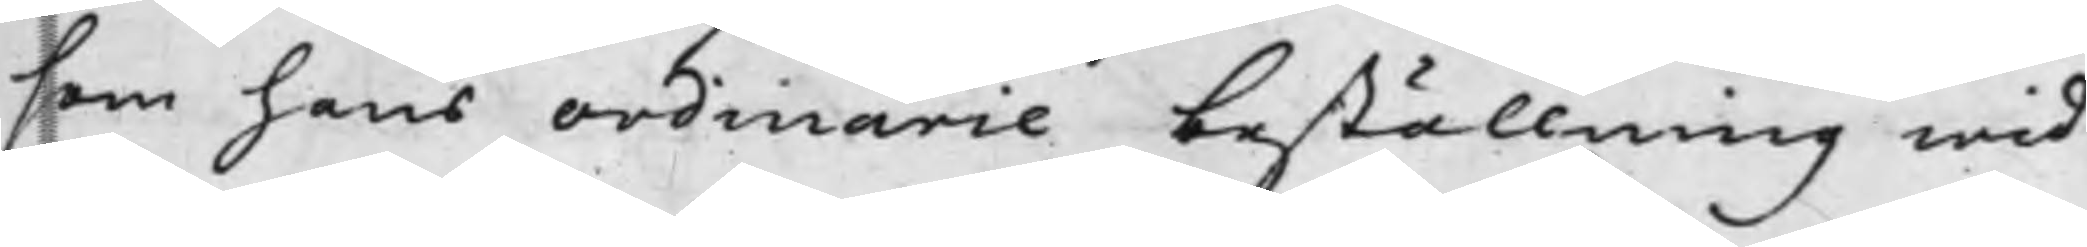som hans ordinarie beställning wid¬
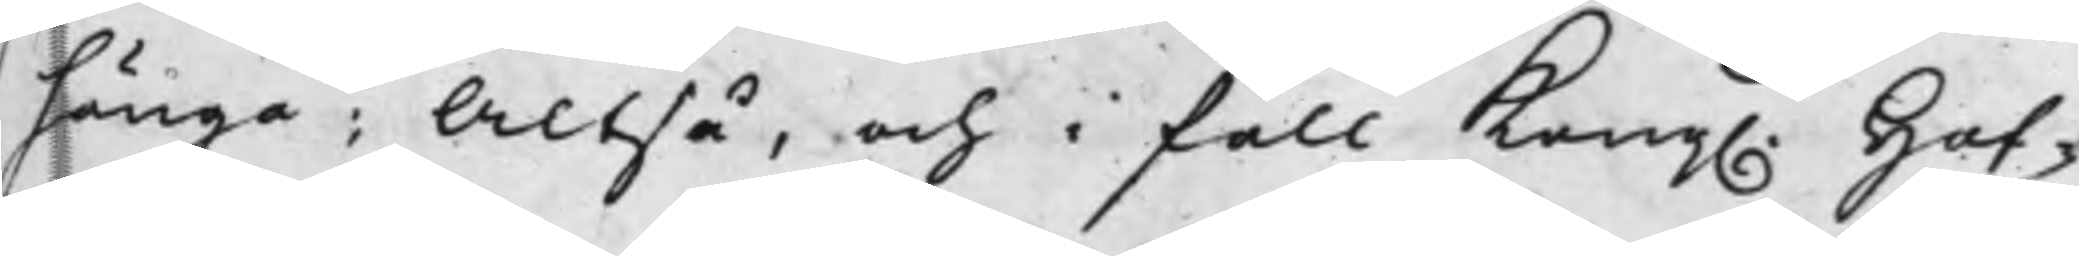hänga; Altså, och i fall Kong. Hof¬
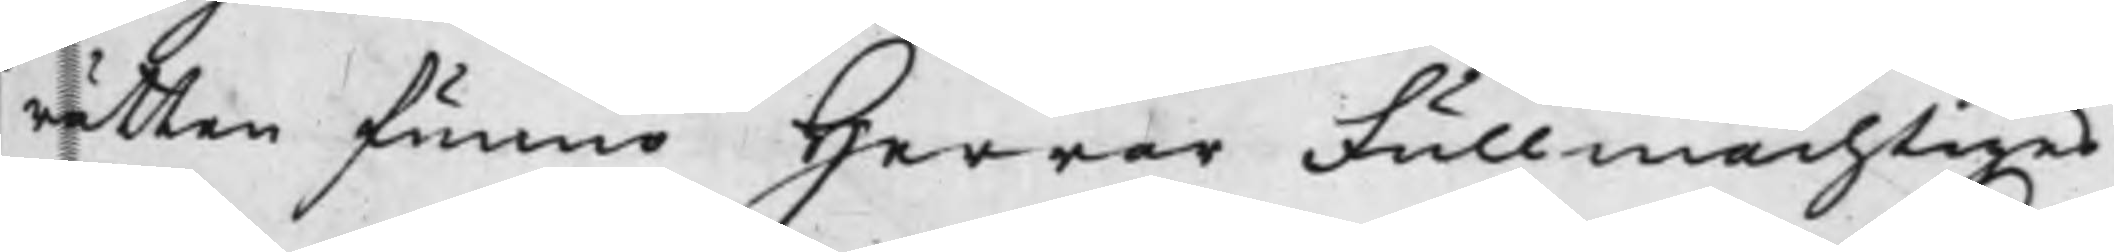rätten funno Herrar Fullmächtiges
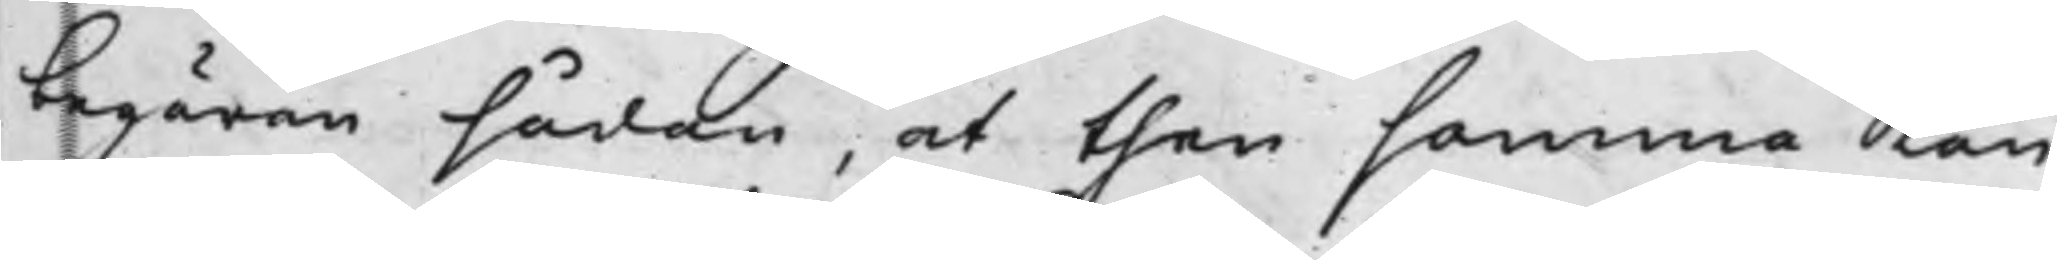begäran sådan, at then samma Kan
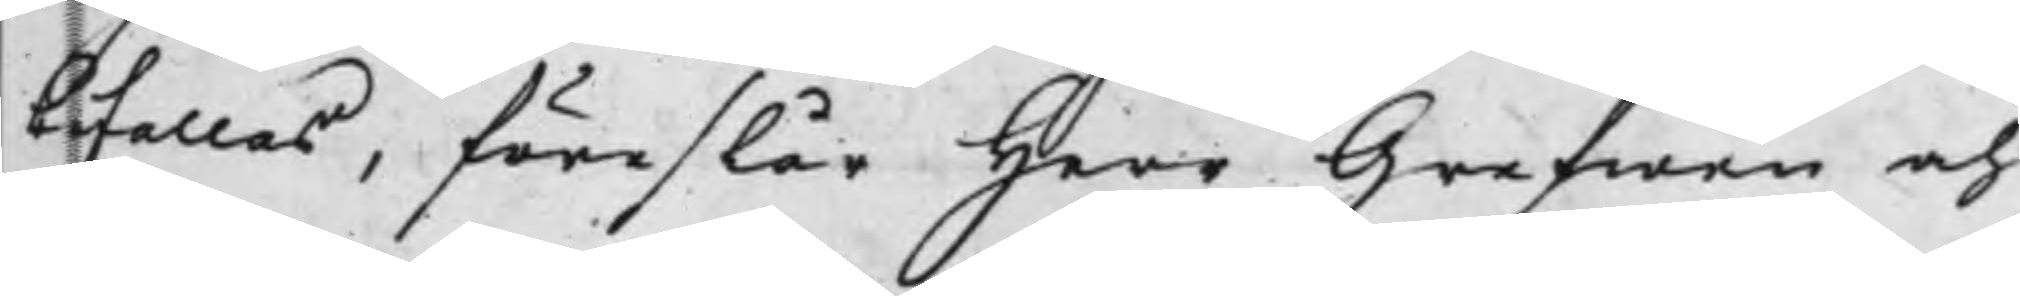bifallas, föreslår Herr Grefwen och
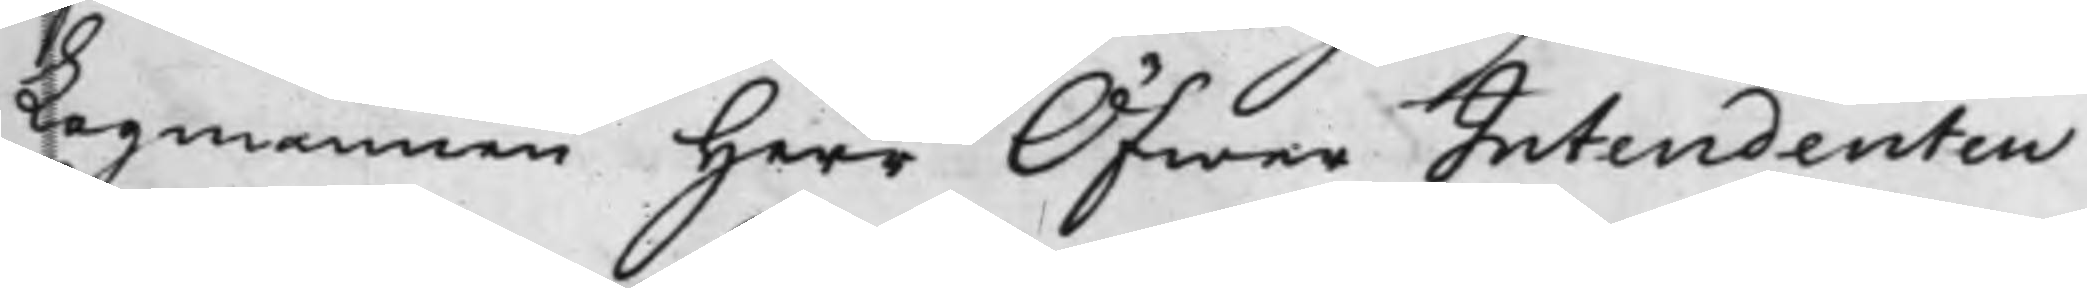Lagmannen Herr ÖfwerIntendenten
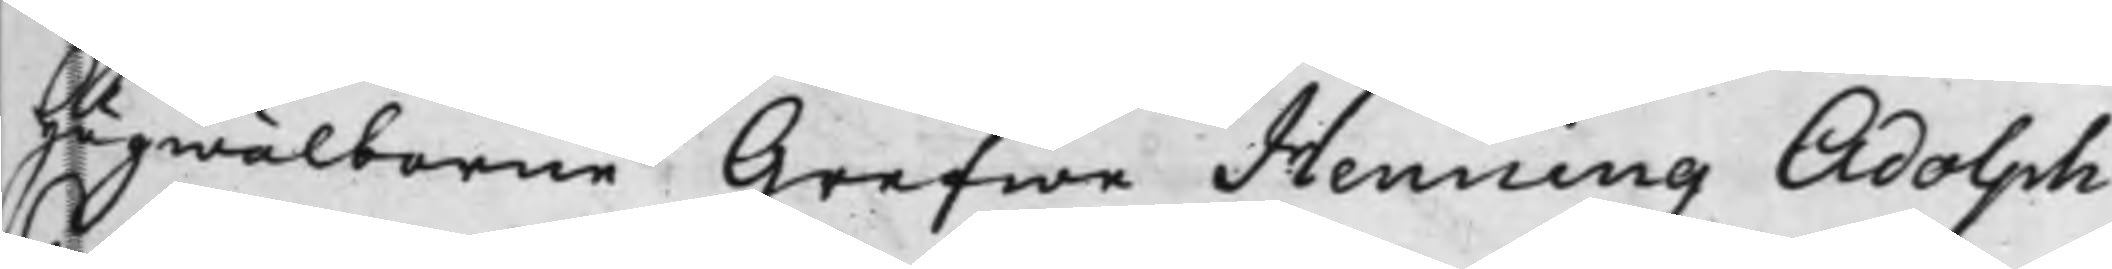Högwälborne Grefwe Henning Adolph
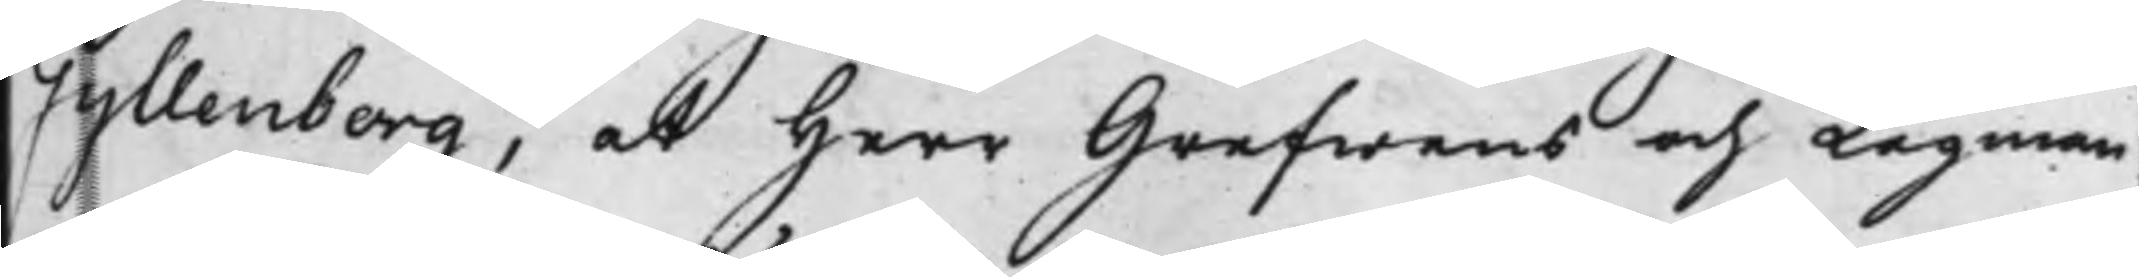Gyllenborg, at Herr Grefwens och Lagman¬
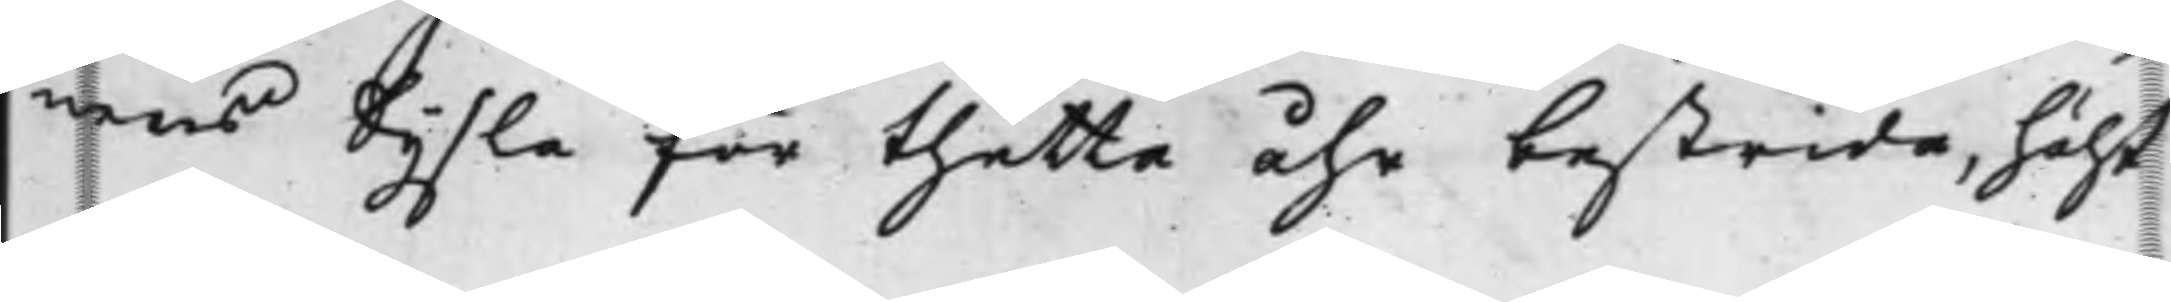nens Sysla för thetta åhr bestrida, hälst
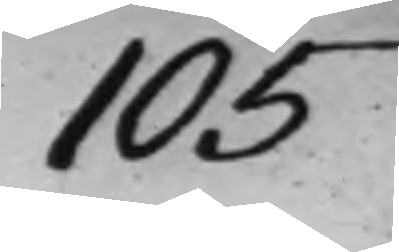105
